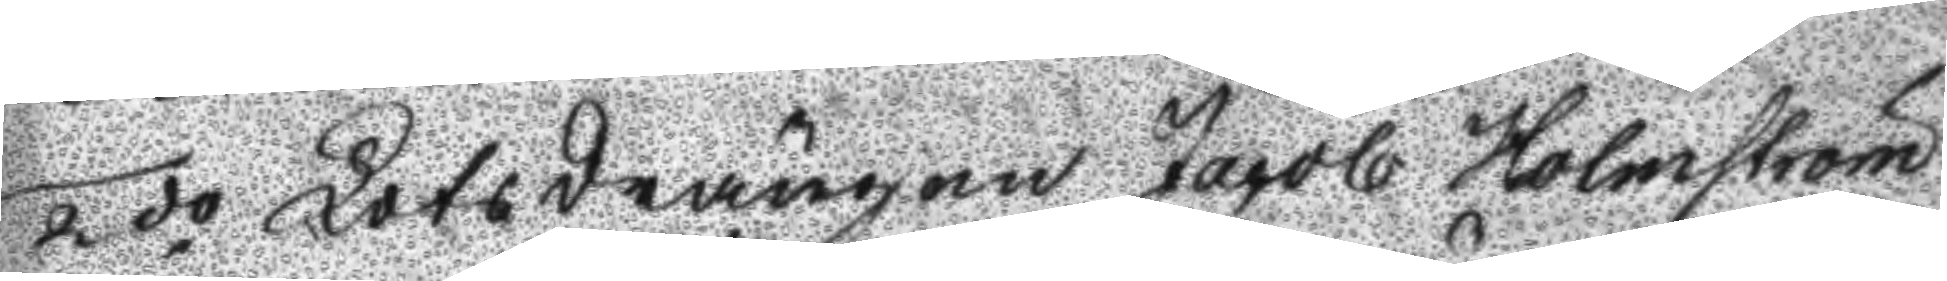2do Lotsdrängen Jacob Holmström
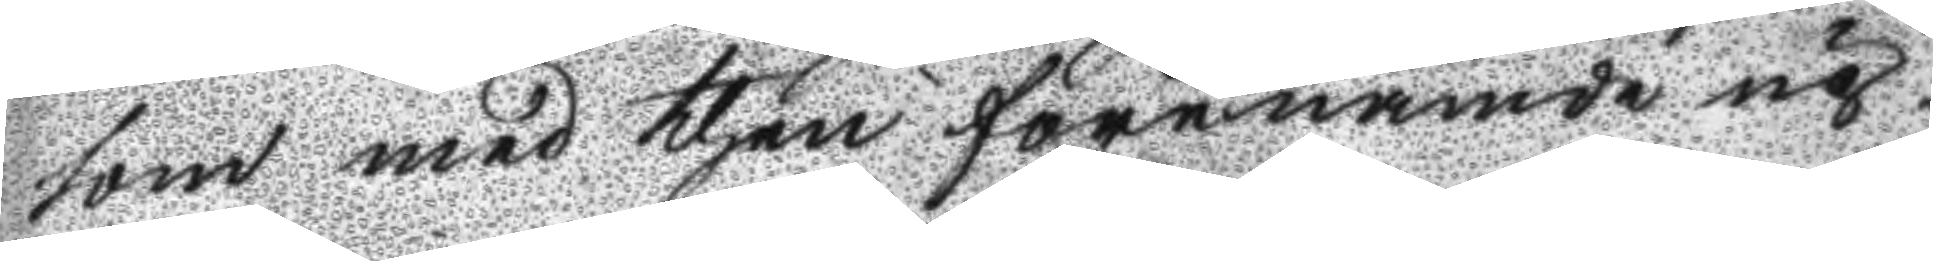som med then förenämde up¬
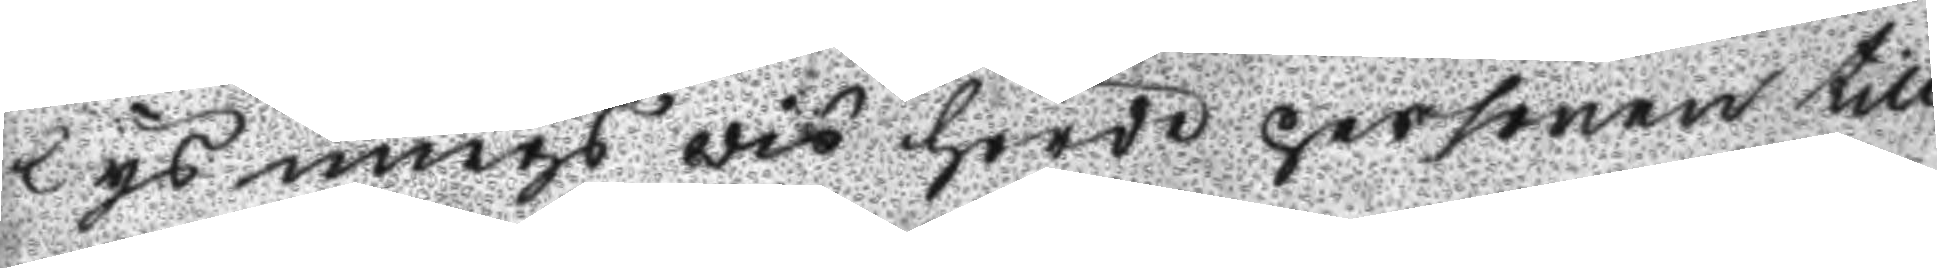lysningswis hörde personen till
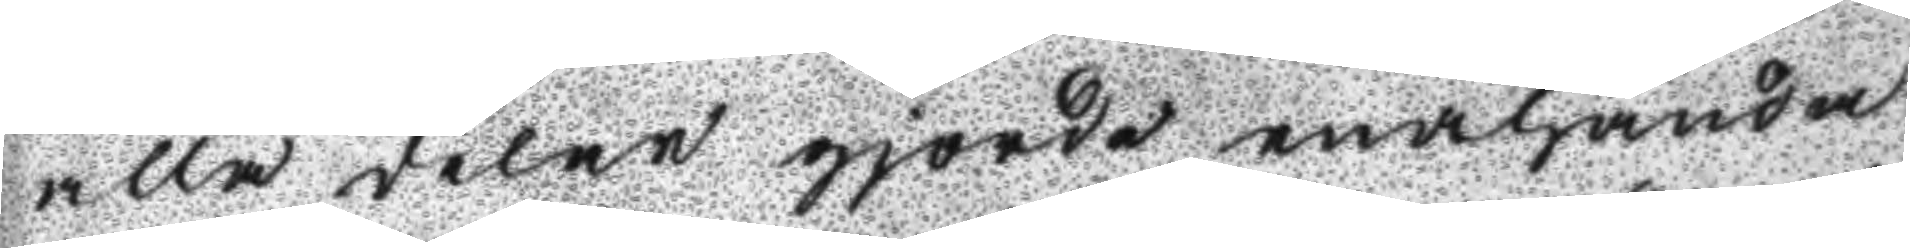alla delar gjorde enahanda
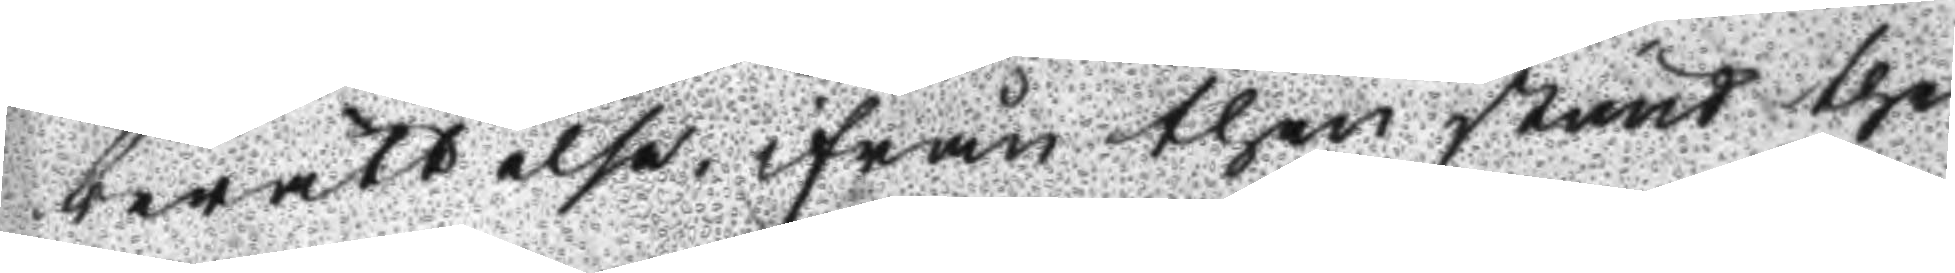berättelse ifrån then stund ther
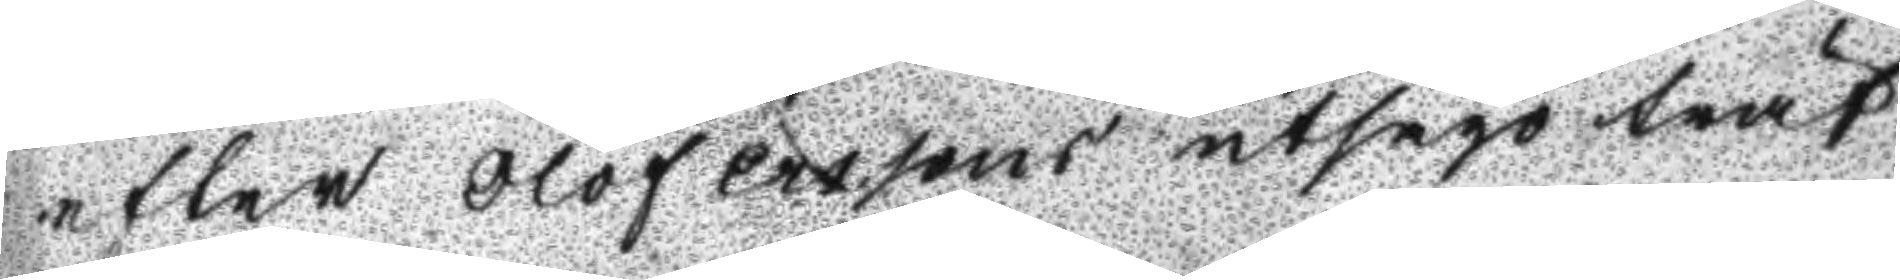efter Olof erssons utsago träf
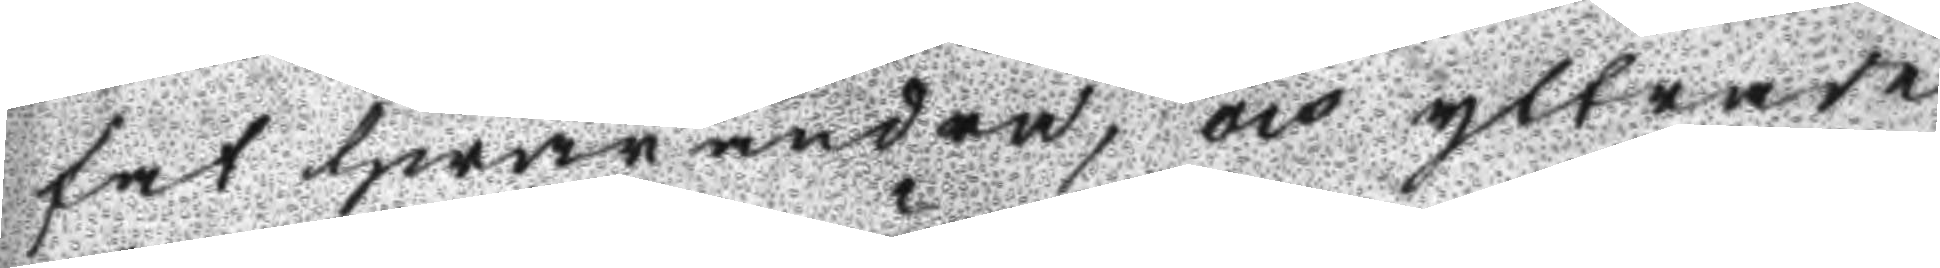fat hwarandra, och yttrade
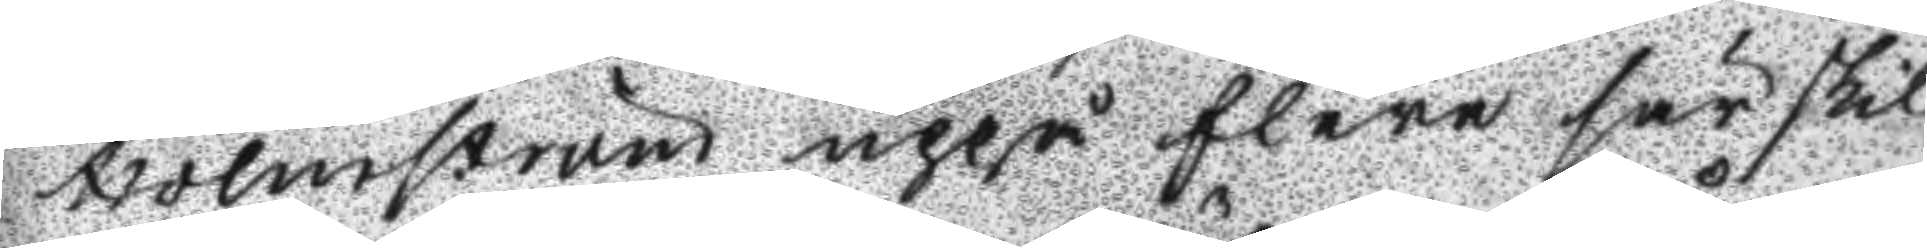Holmström uppå flere särskil
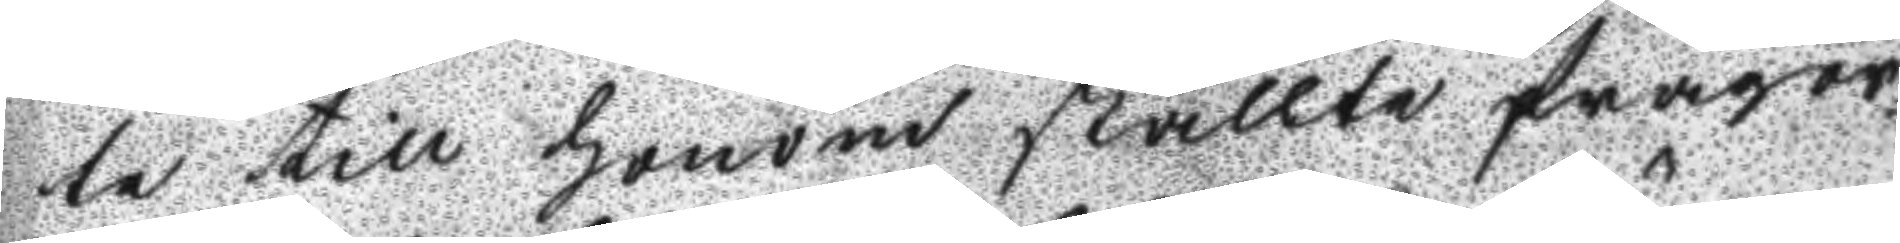te till honom ställte frågor
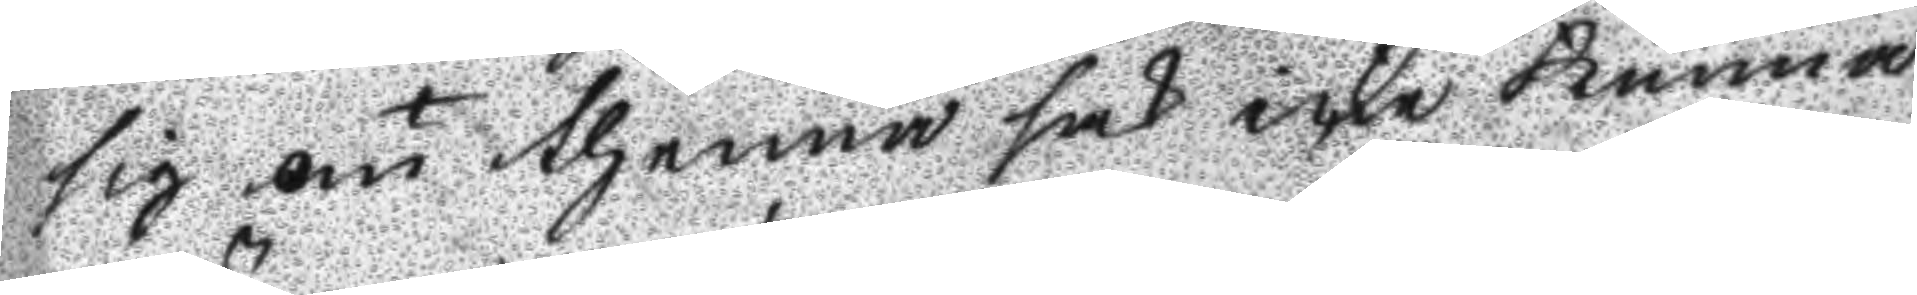sig om thenna sak icke kunna
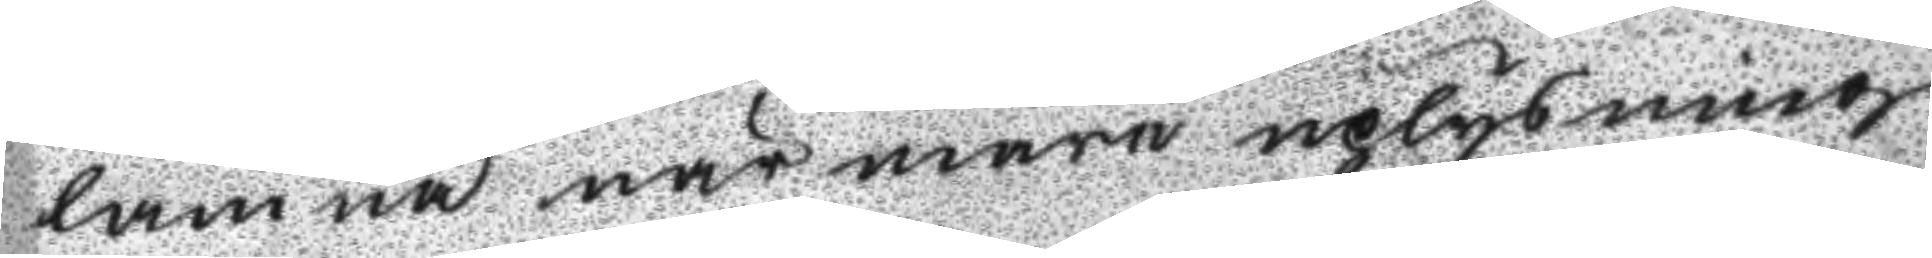lämna närmare uplysning
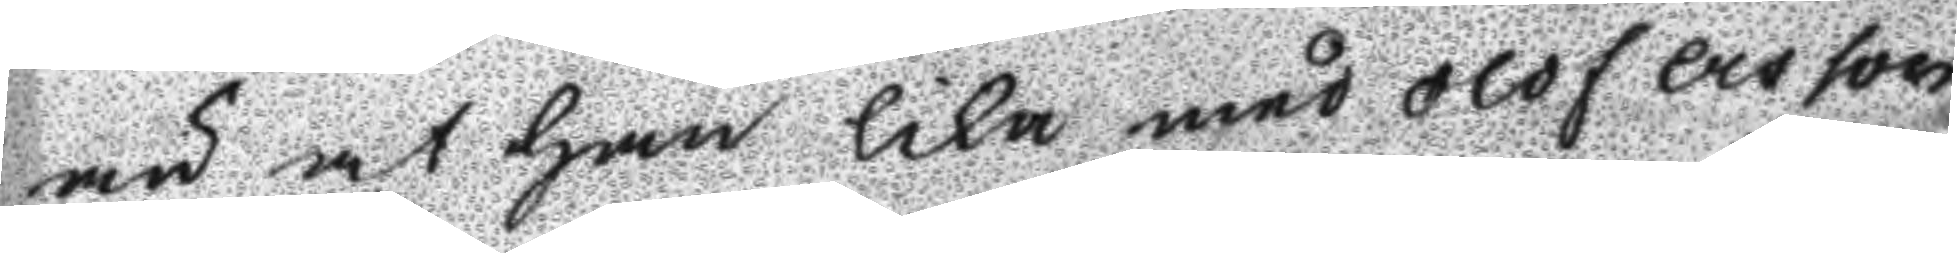än at han lika med Olof Ersson
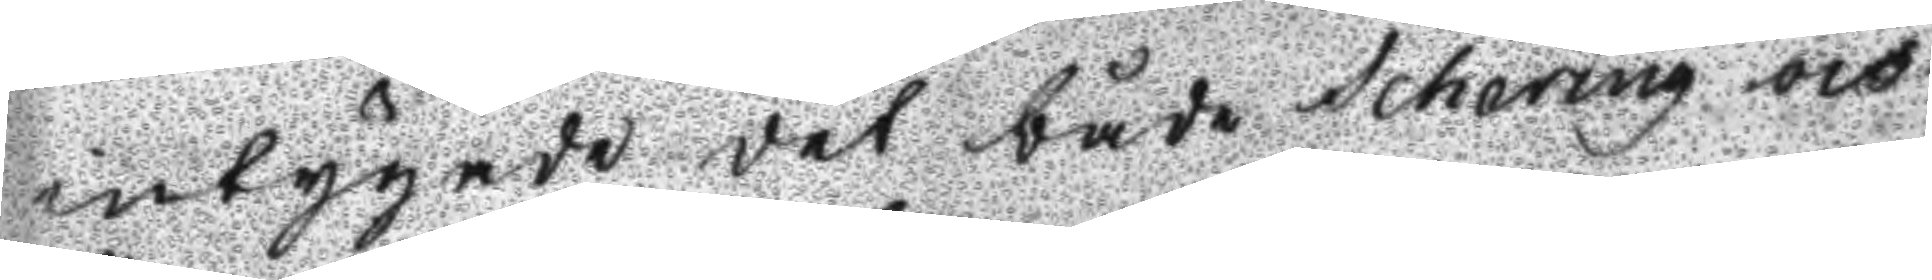intygade det både Scharing och
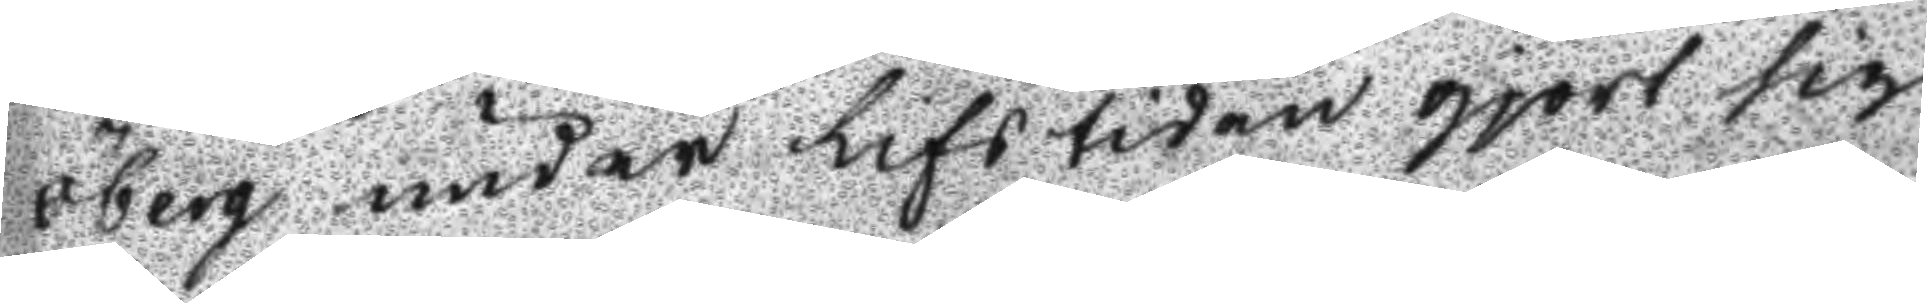Öberg under Lifstiden gjort sig
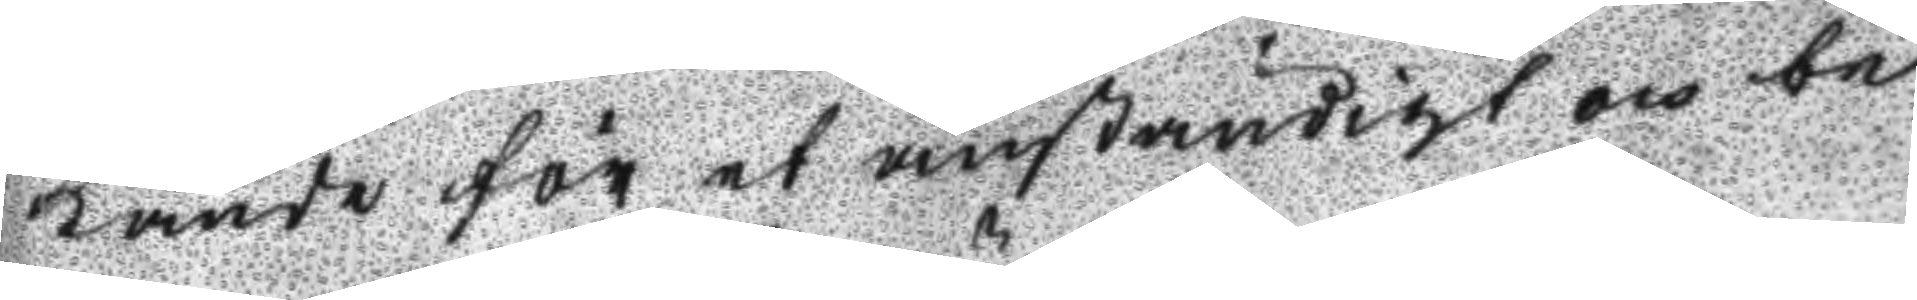kända för et anständigt och be
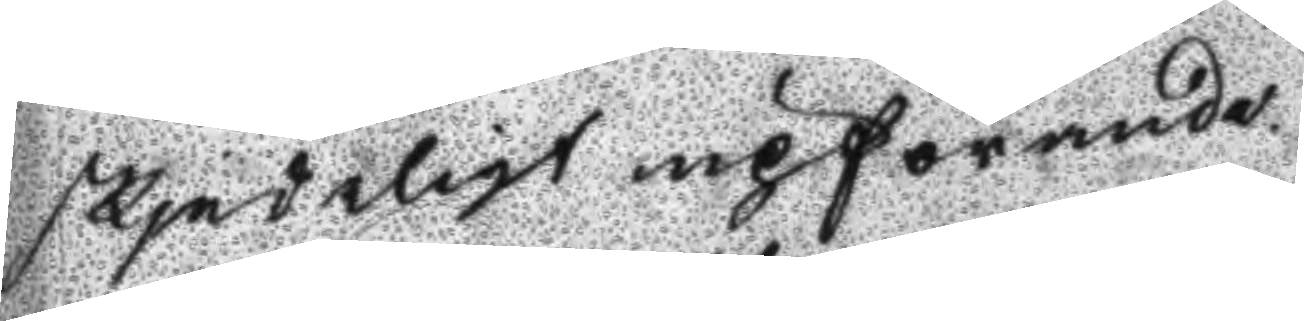skjedeligt upförande.
